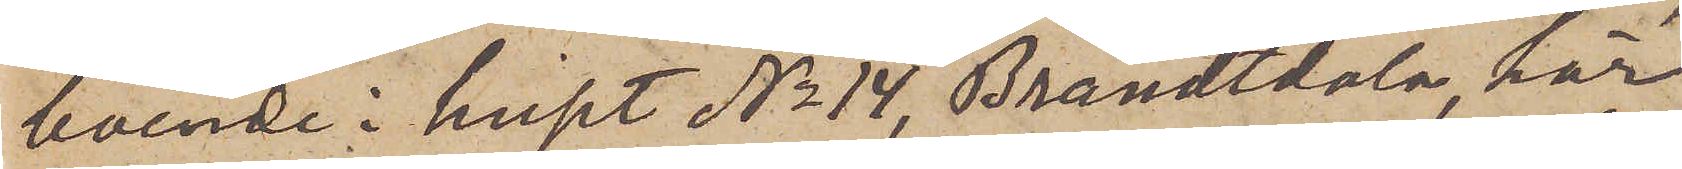boende i huset No 14 Brandtdala, här
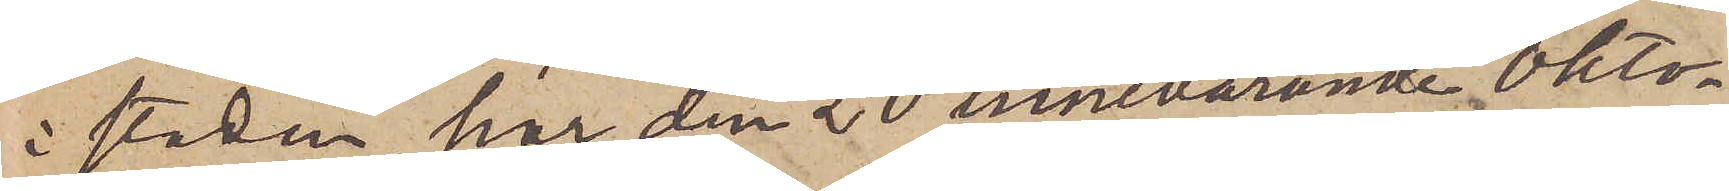i staden, har den 20 innevarande Okto¬
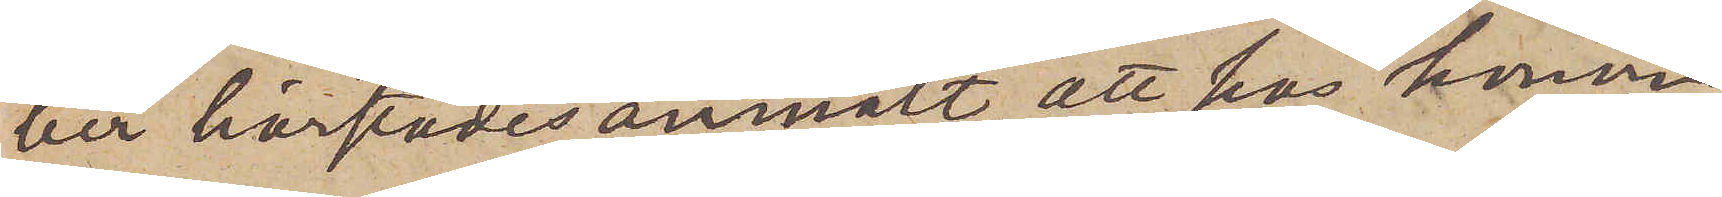ber härstädes anmält, att hos honom
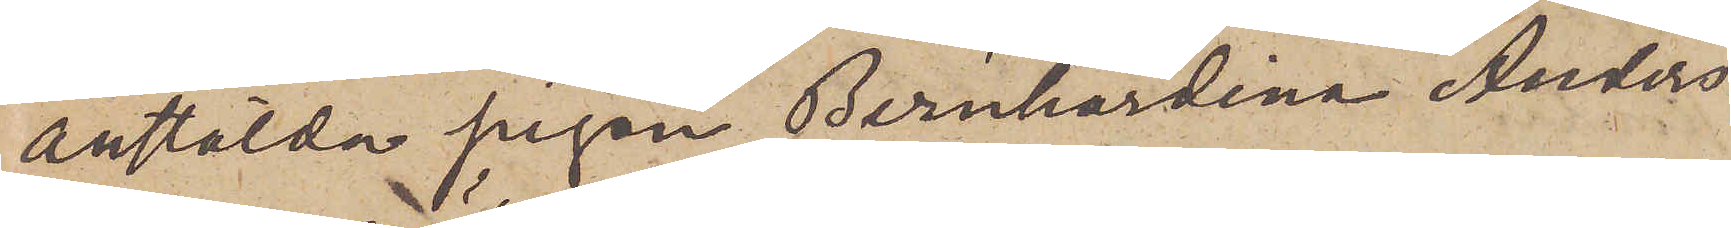anstälda pigan Bernhardina Anders¬
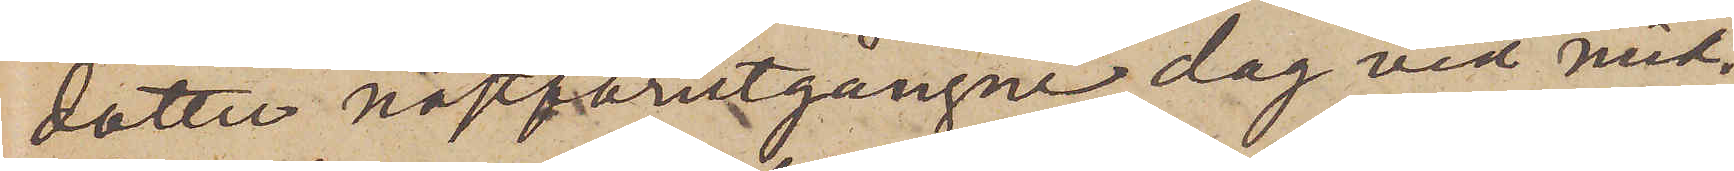dotter nästförutgångne dag vid mid¬
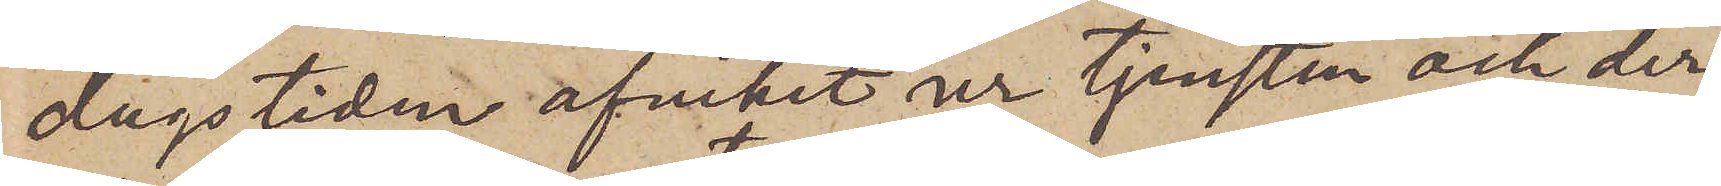dagstiden afvikit ur tjensten och der¬
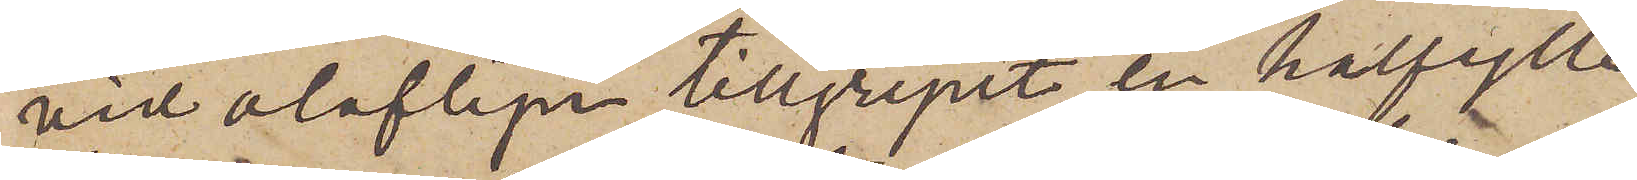vid olofligen tillgripit en halfylle
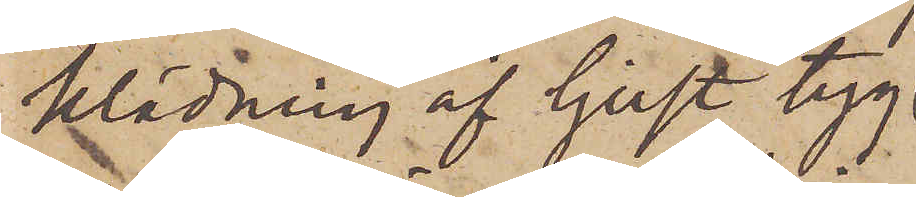klädning af ljust tyg
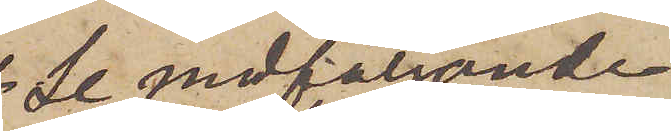(se medföljande
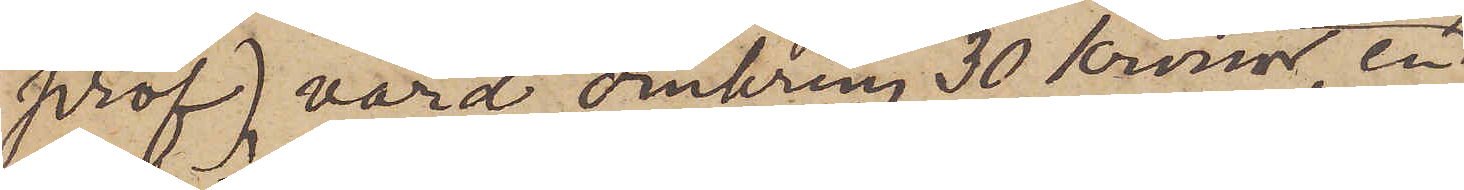prof), värd omkring 30 Kronor, en
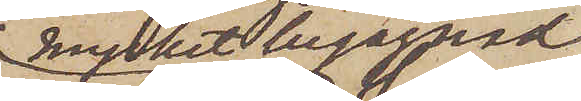mycket begagnad
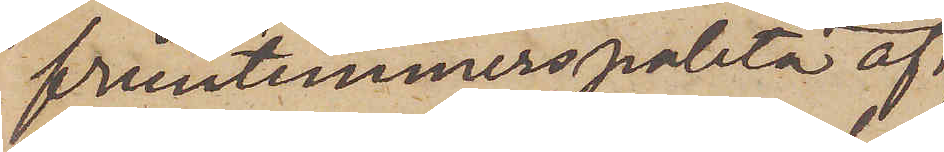fruntimmerspaletå af
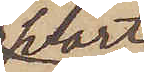svart
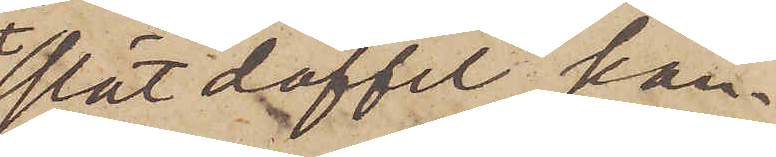slät doffel, kan¬
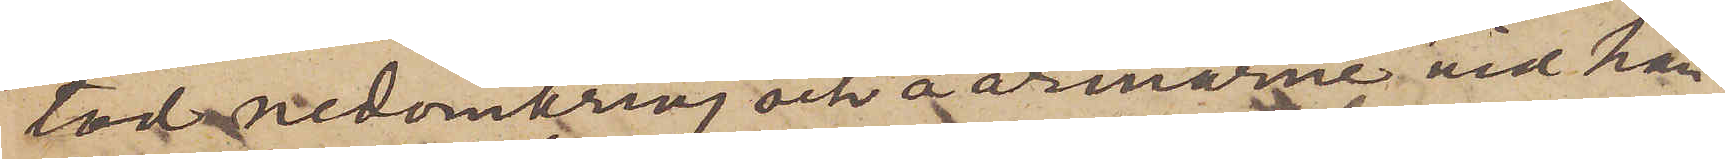tad nedomkring och å ärmarne vid hän¬
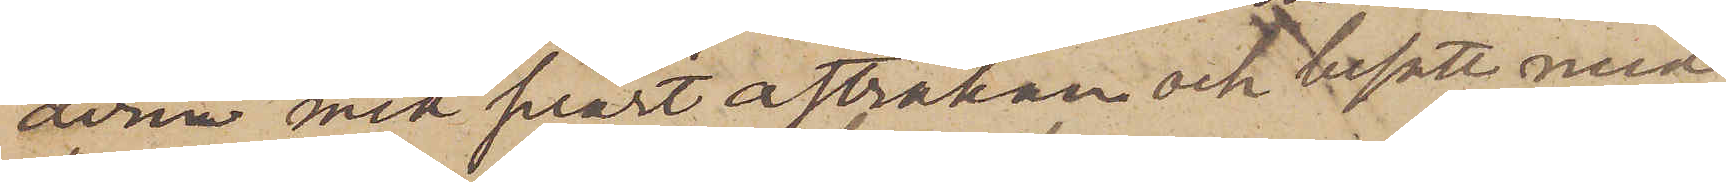dere med svart astrakan och besatt med
